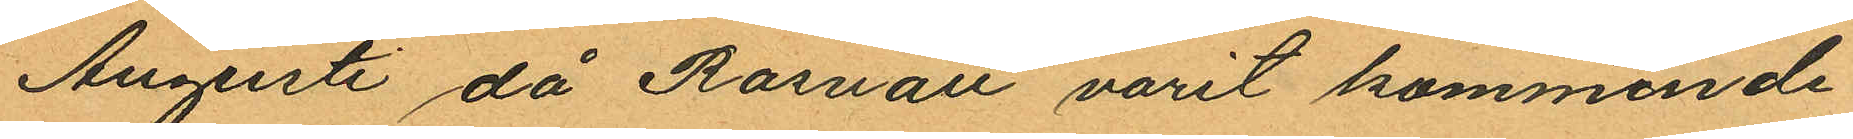Augusti då Rosvall varit kommende¬
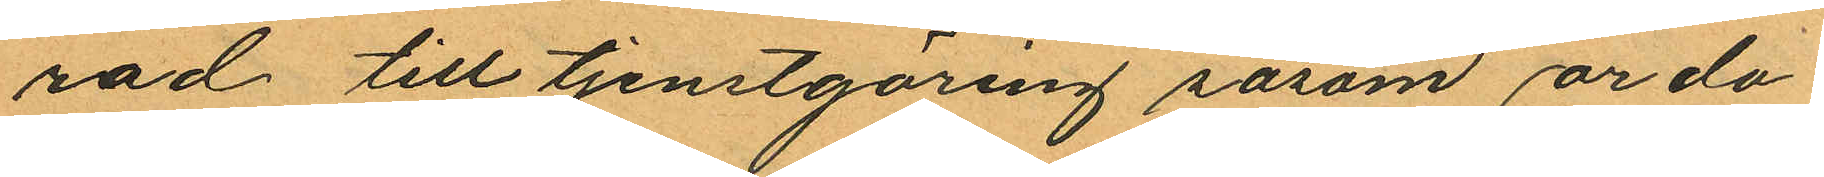rad till tjenstgaring såsom ordo¬
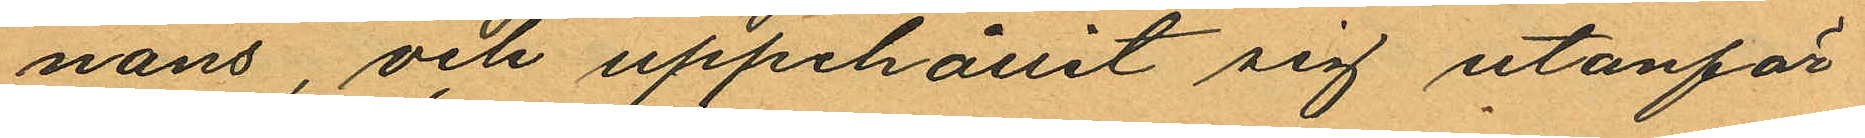nans, och uppehållit sig utanför
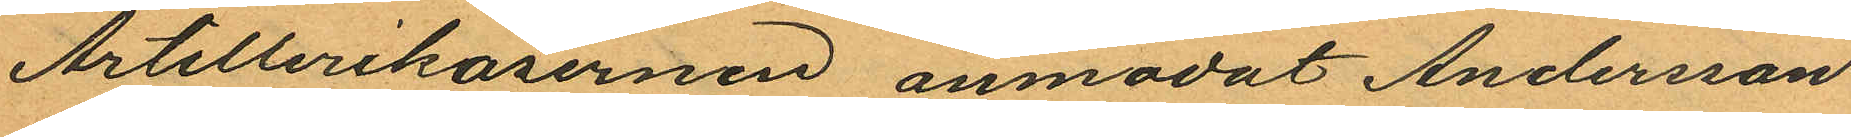Artillerikasernen anmodat Andersson
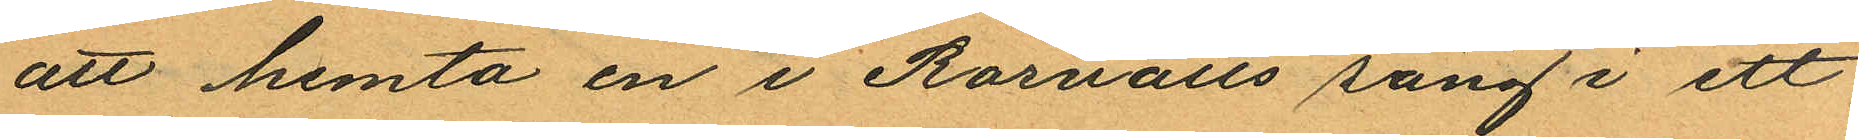att hemta en i Rosvalls säng i ett
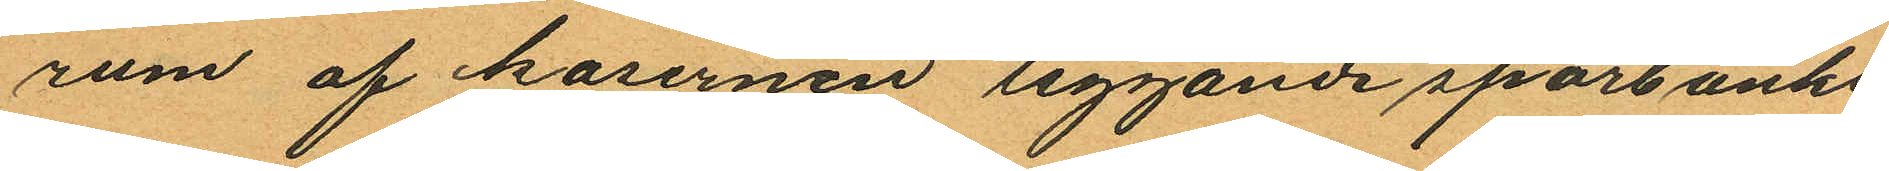rum af kasernen liggande sparbanks¬
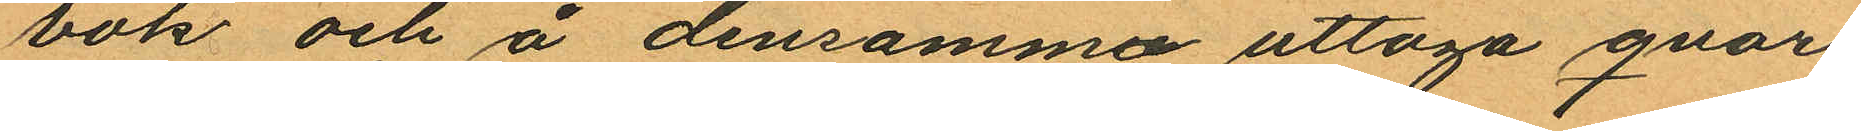bok och å densamma uttaga qvar
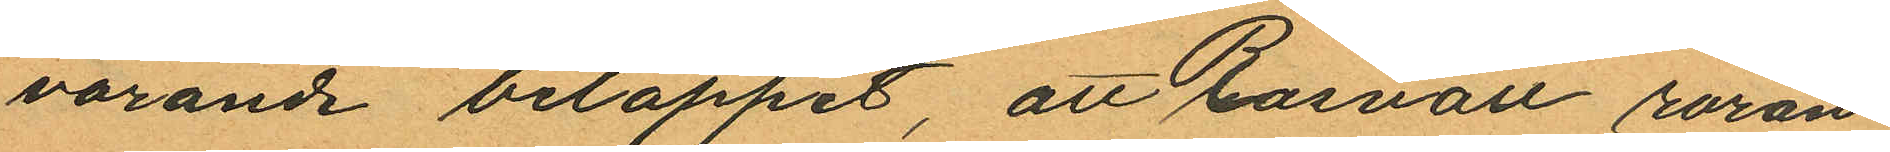varande beloppet, att Rosvall röran¬
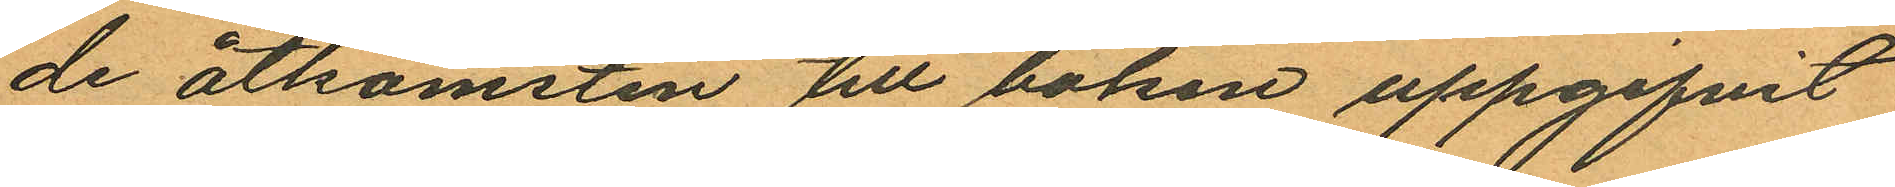de åtkomsten till boken uppgifvit
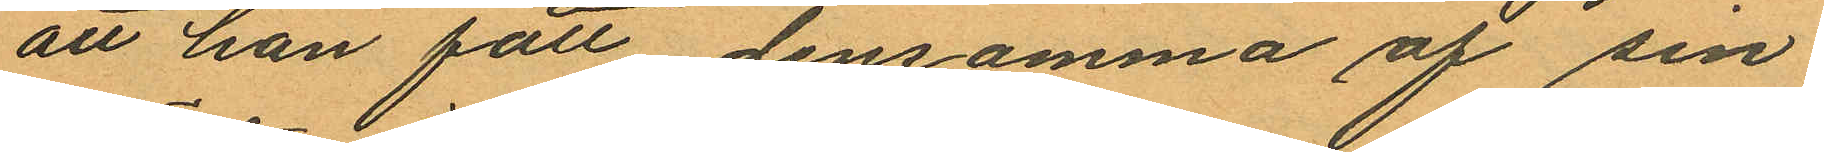att han fått densamma af sin
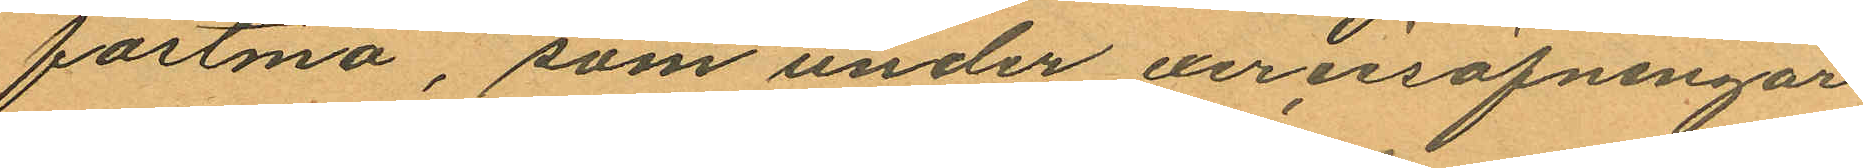fästmö, som under exercisöfningar
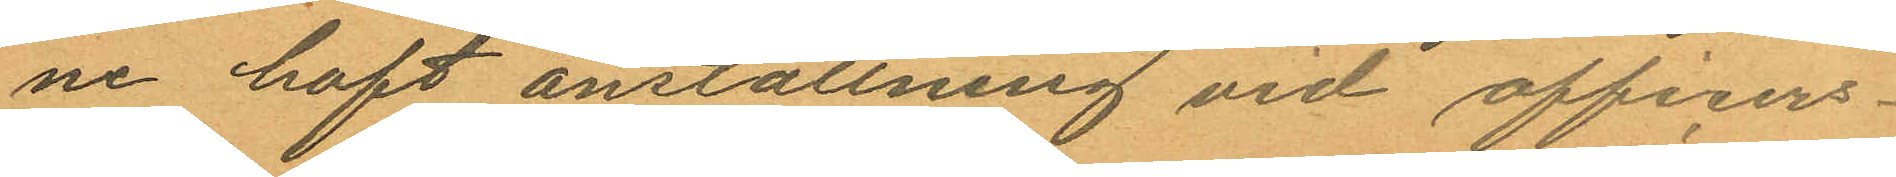ne haft anställning vid officers¬
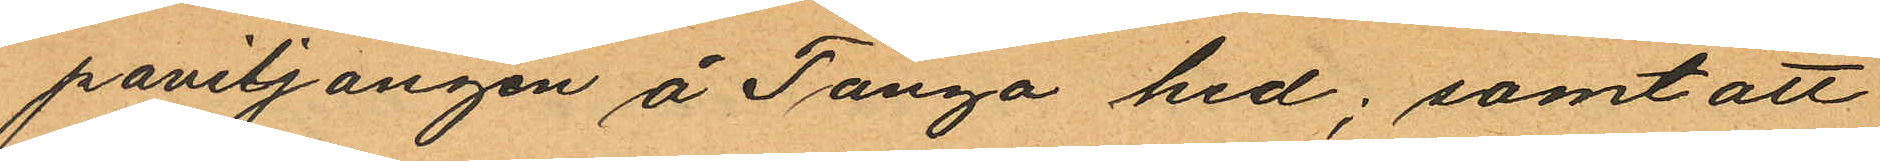paviljongen å Tånga hed; samt att
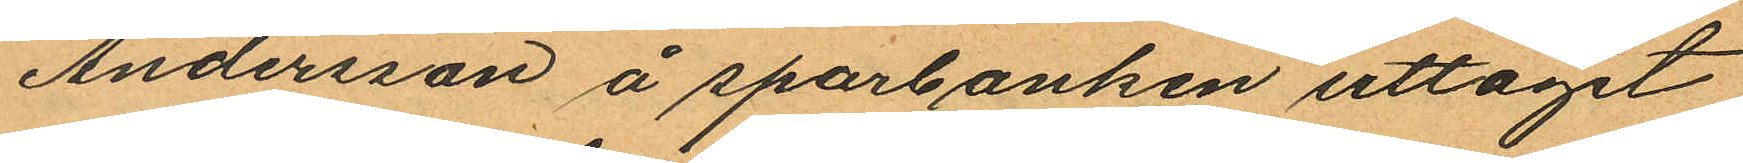Andersson å sparbanken uttagit
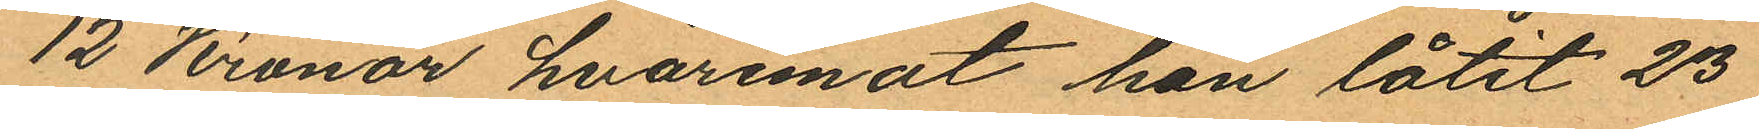12 Kronor, hvaremot han låtit 23
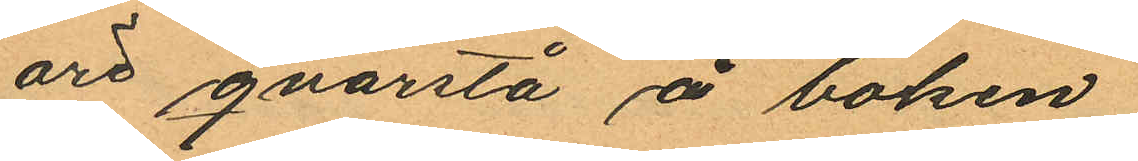öre qvarstå å boken.
